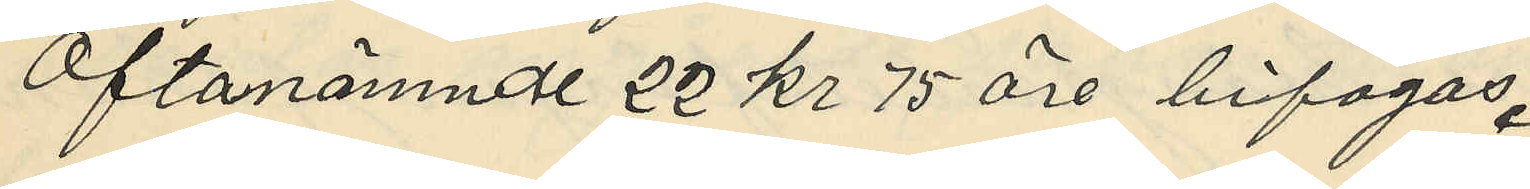Oftanämnde 22 kr 75 öre bifogas.
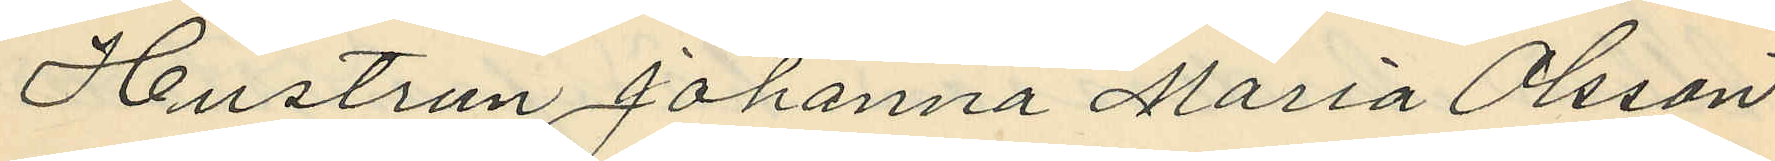Hustrun Johanna Maria Olsson
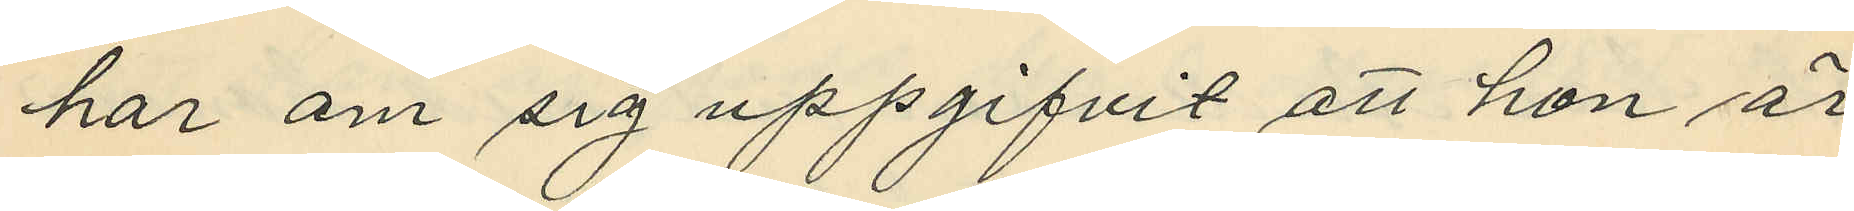har om sig uppgifvit att hon är
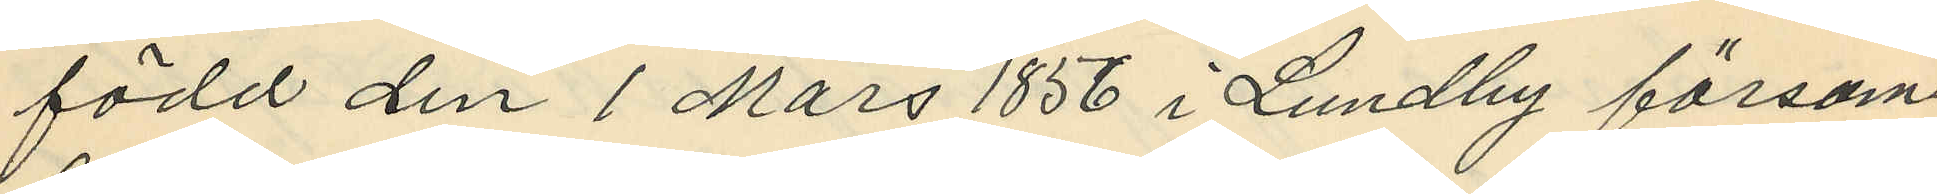född den 1 Mars 1856 i Lundby försam¬
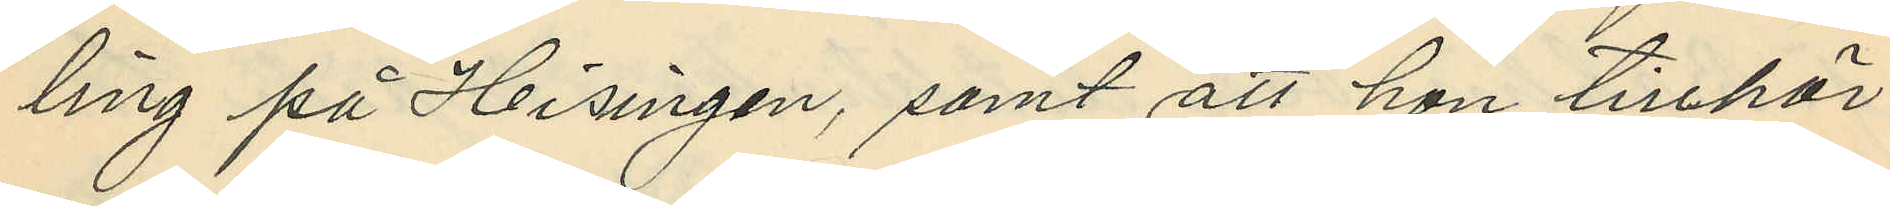ling på Hisingen, samt att hon tillhör
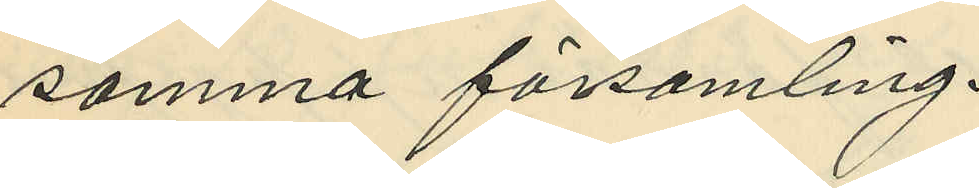samma församling.
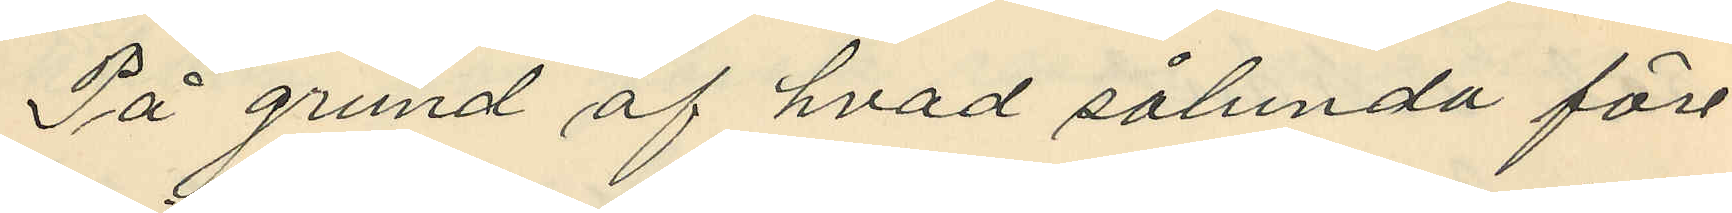På grund af hvad sålunda före¬
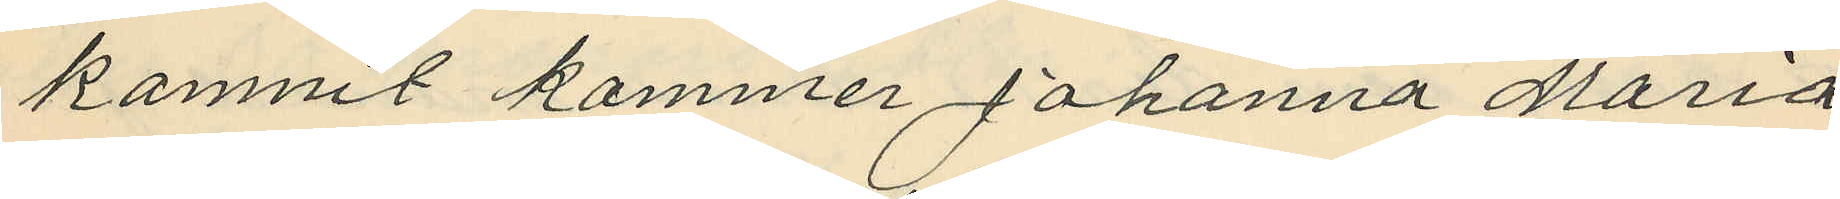komnit kommer Johanna Maria
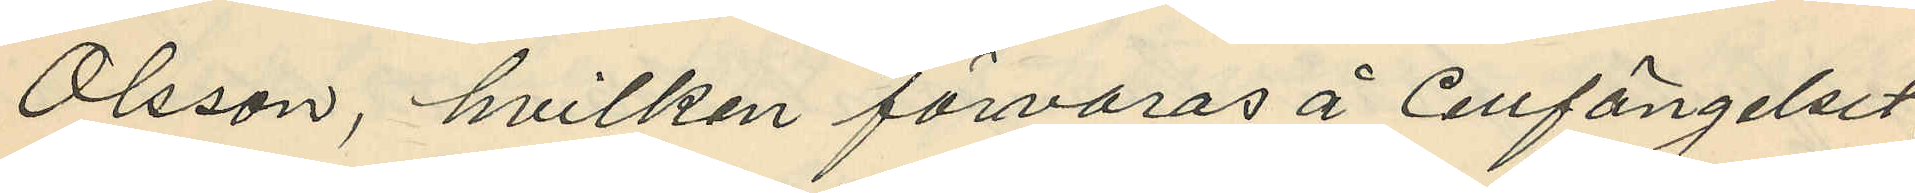Olsson, hvilken förvaras å Cellfängelset,
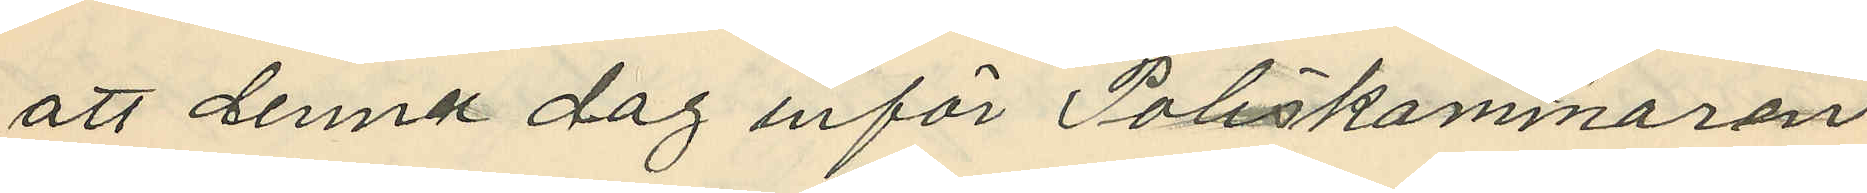att denna dag inför Poliskammaren
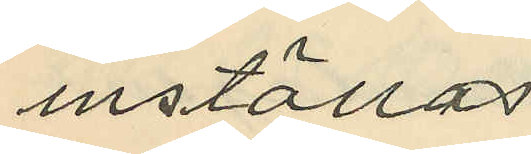inställas.
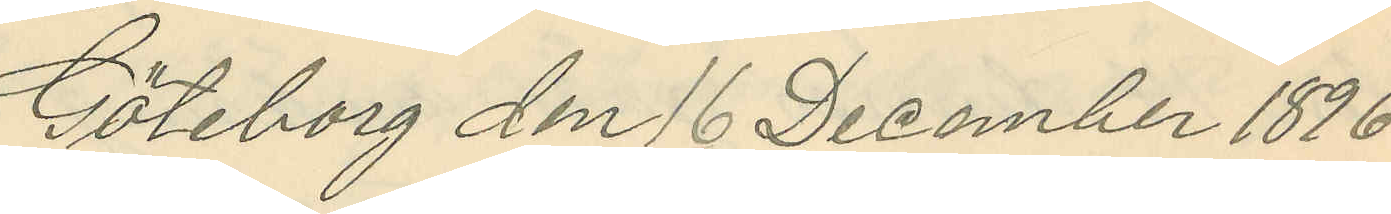Göteborg den 16 December 1896
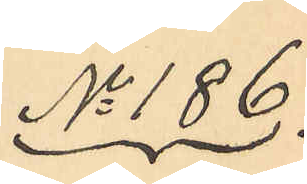No 186.
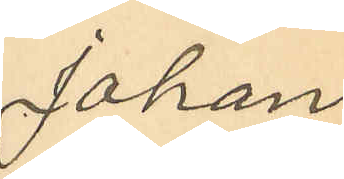Johan
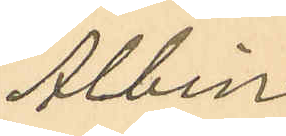Albin
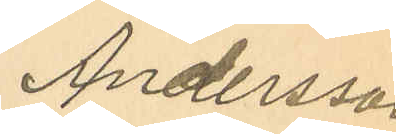Andersson
